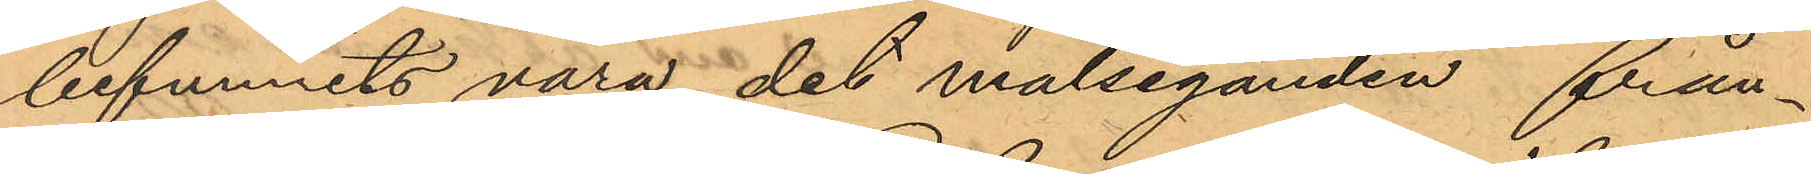befunnits vara det målseganden från¬
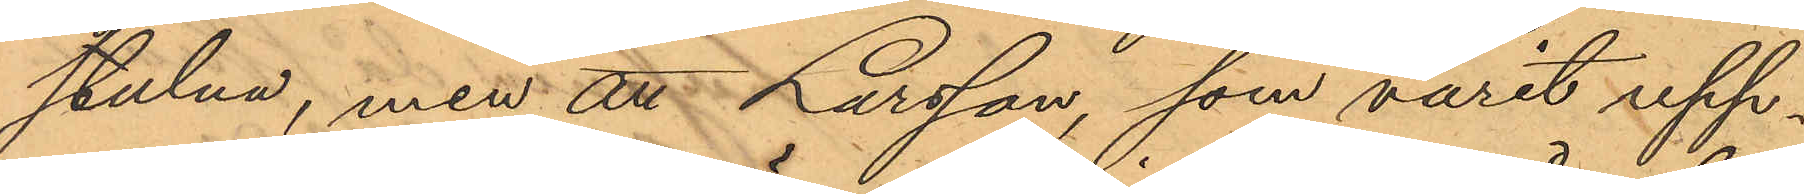stulna, men att Larsson, som varit upp¬
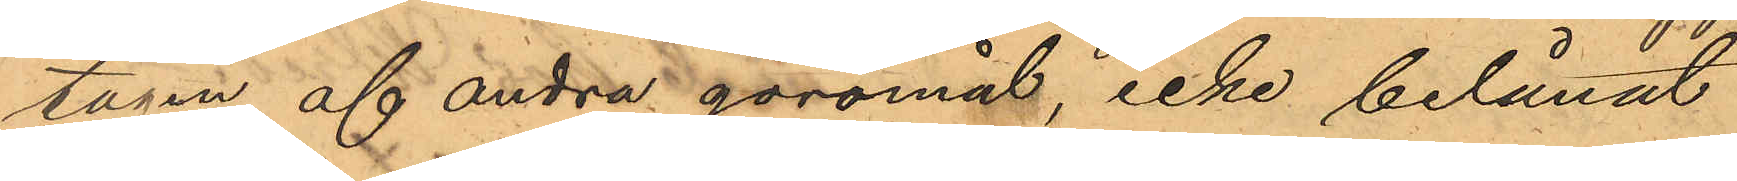tagen af andra göromål, icke belånat
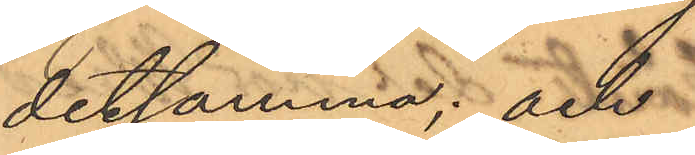detsamma; och
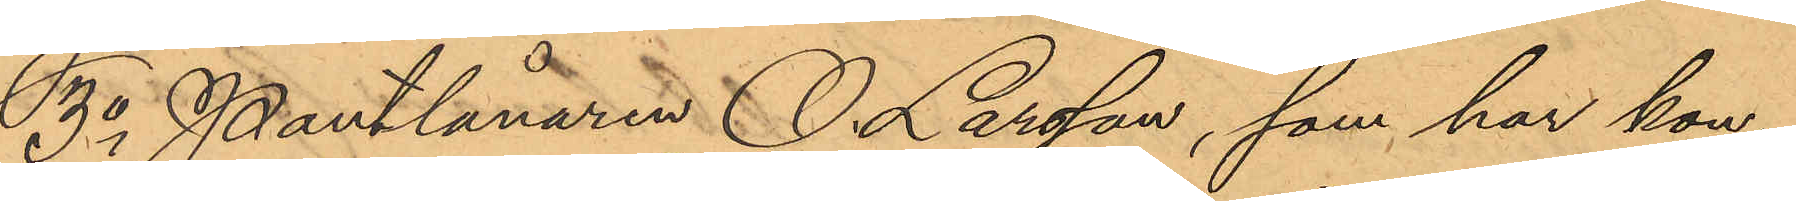3o Pantlånaren O. Larsson, som har kon¬
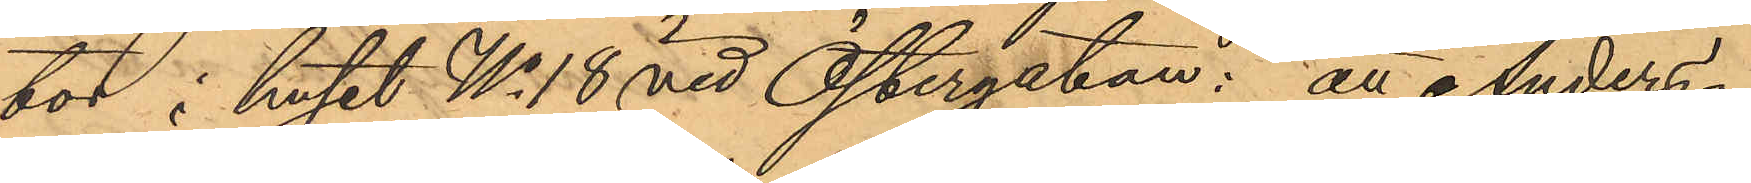tor i huset No 18 vid Östergatan: att Anders¬
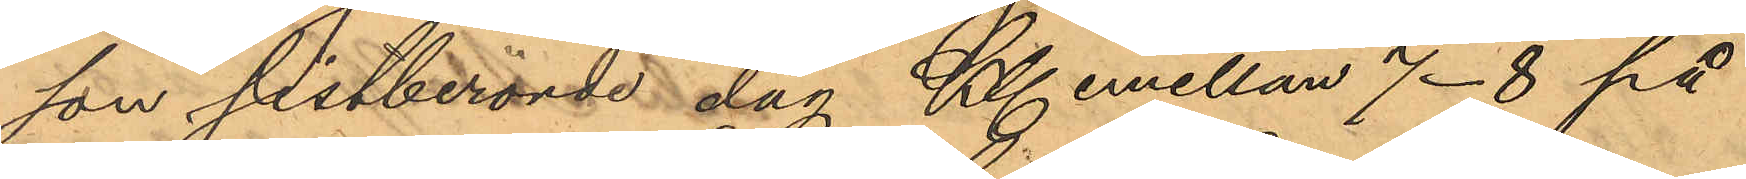son sistberörde dag Kl. emellan 7-8 på
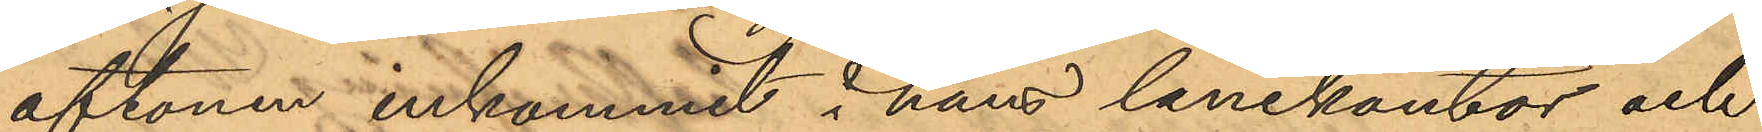aftonen inkommit i han lånekontor och
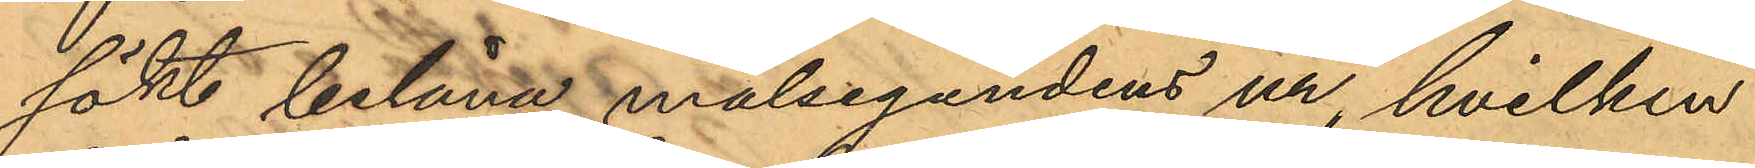sökt belåna målsegandens ur, hvilken
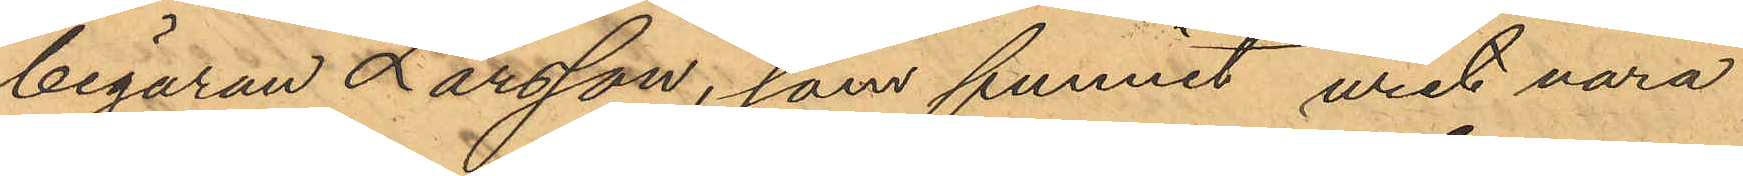begäran Larsson, som funnit uret vara
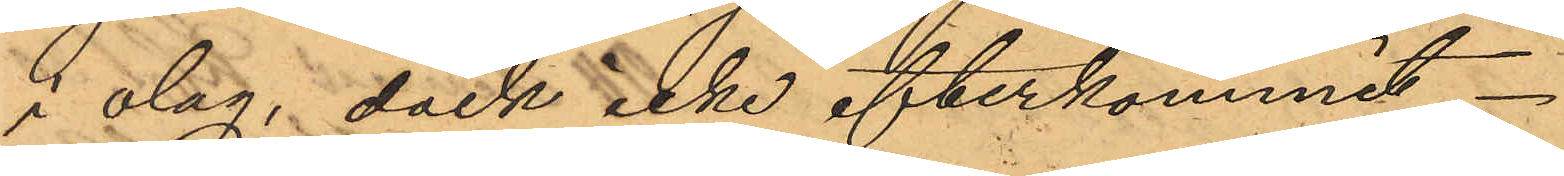i olag, dock icke efterkommit
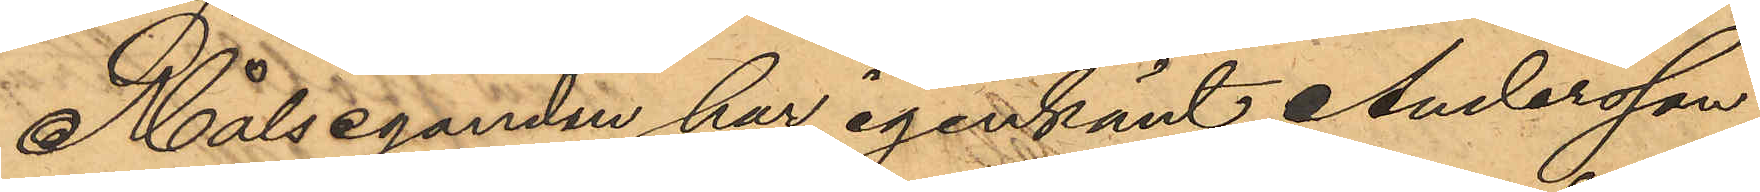Målseganden har igenkänt Andersson
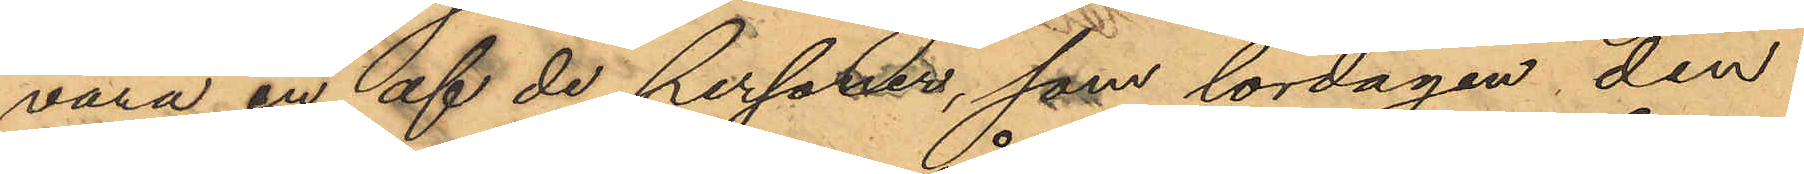vara en af de personer, som lördagen den
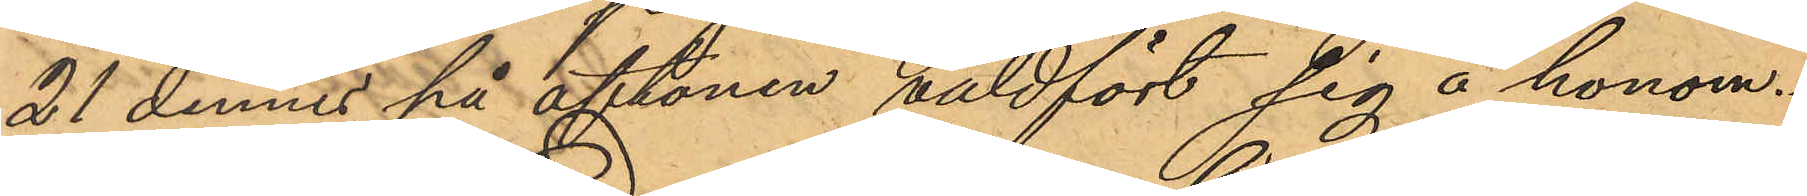21 dennes på aftonen våldfört sig å honom.
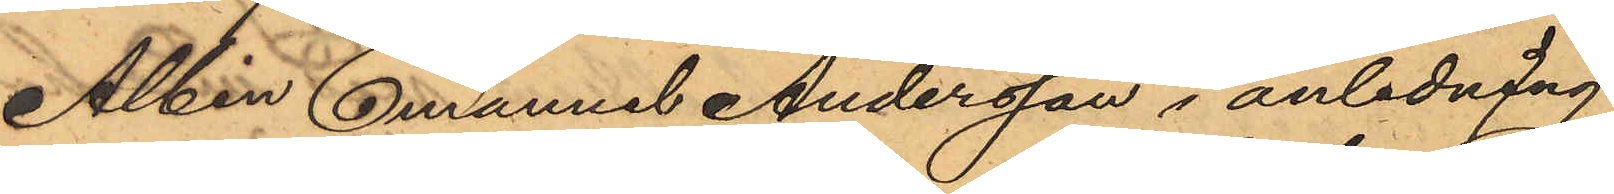Albin Emanuel Andersson i anledning
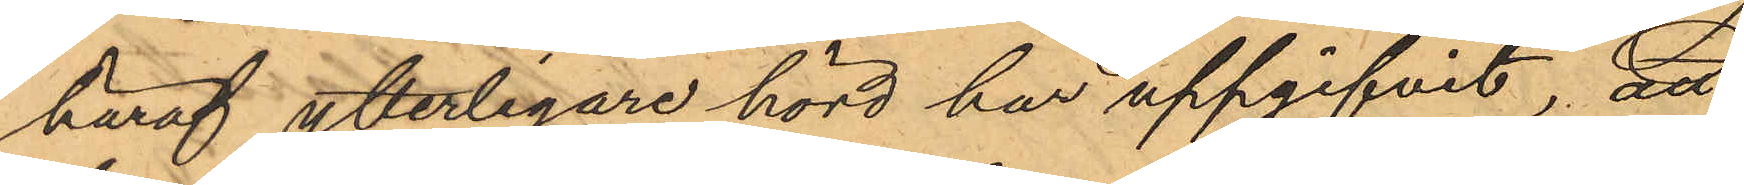häraf ytterligare hörd har uppgifvit, att
